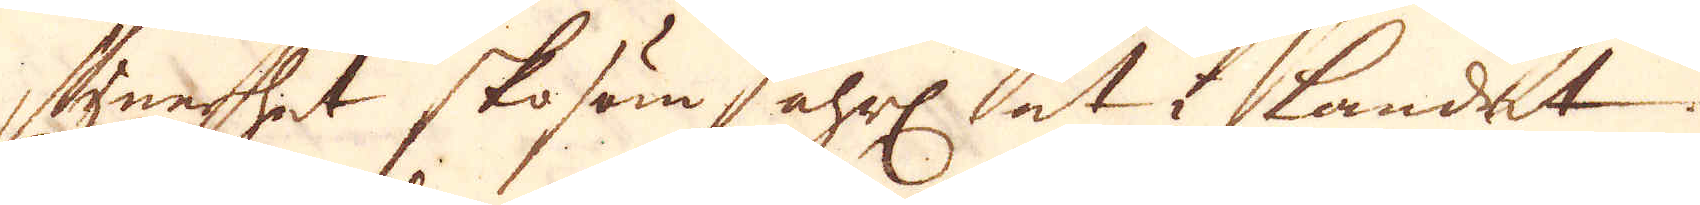synnerhet skosöm åhrl åt landet.
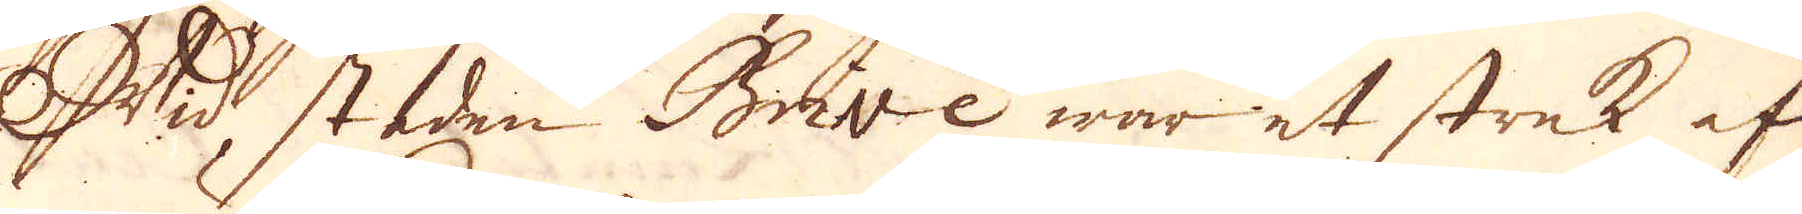Wid staden Brive war et strek af
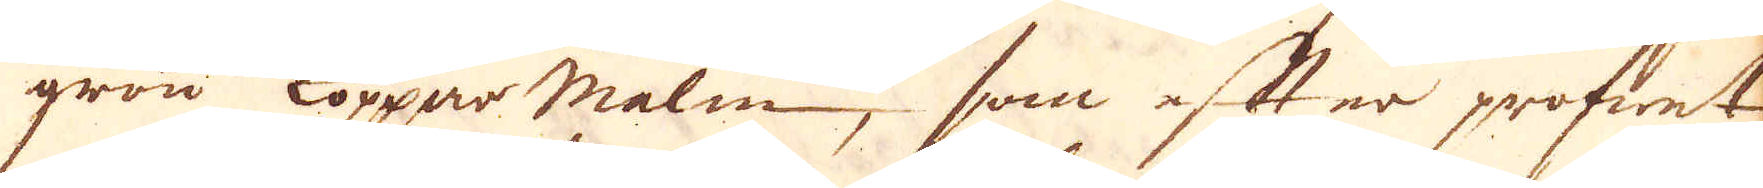grön Kopparmalm, som efter profwet
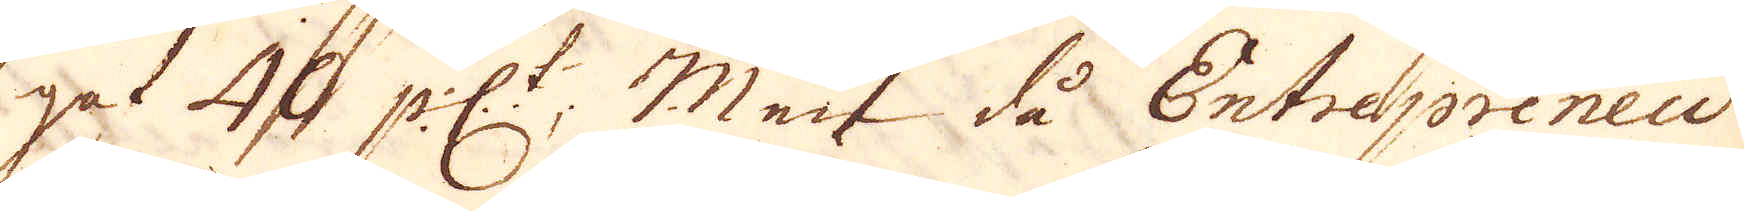get 4  pc:t. Men då Entrepreneu-
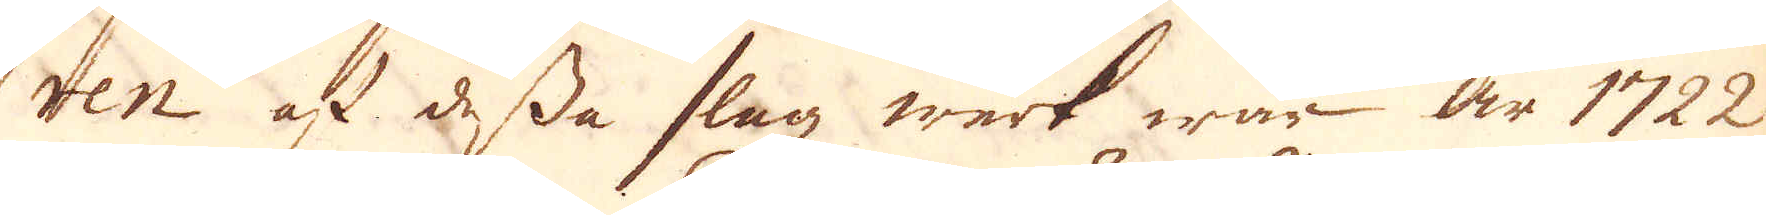ren af dessa slag werk war år 1722
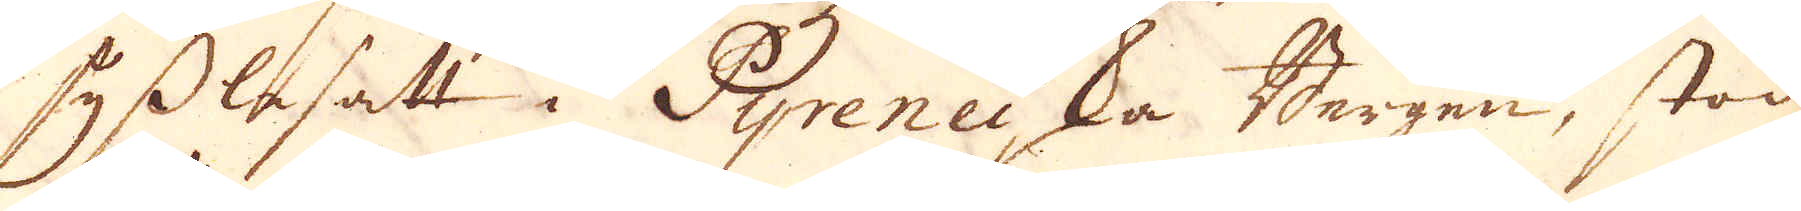sysslesatt i Pyreneiska Bergen, stod
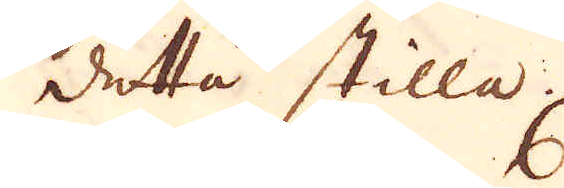detta stilla.
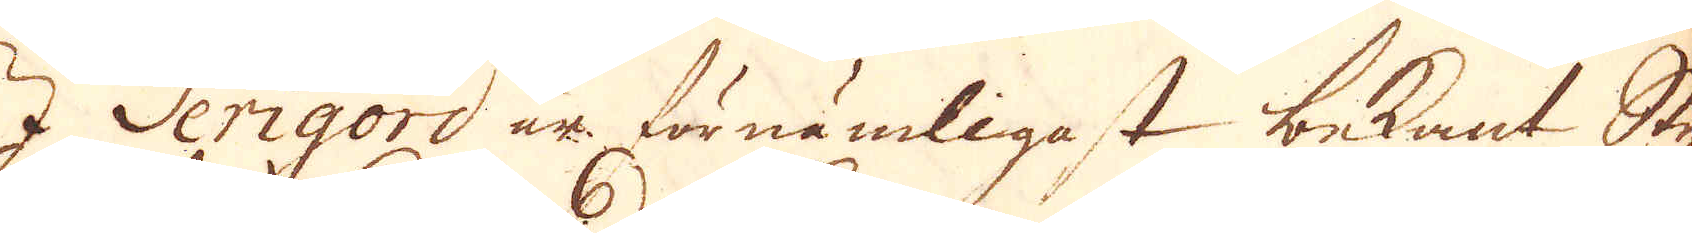I Perigord är förnämligast bekant Sty-
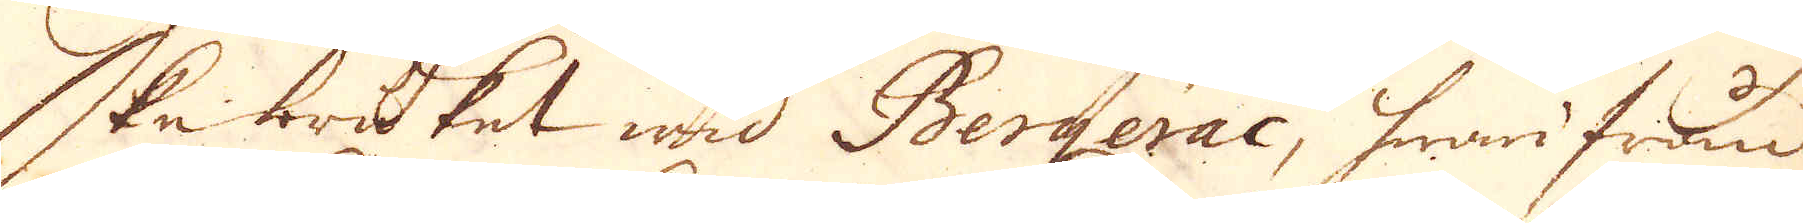ke bruket wad Bergerac, hwarifrån
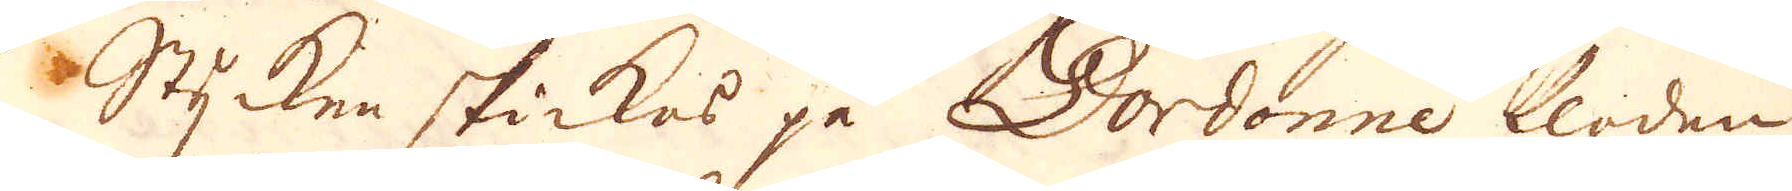Stycken skickas på Dordonne floden
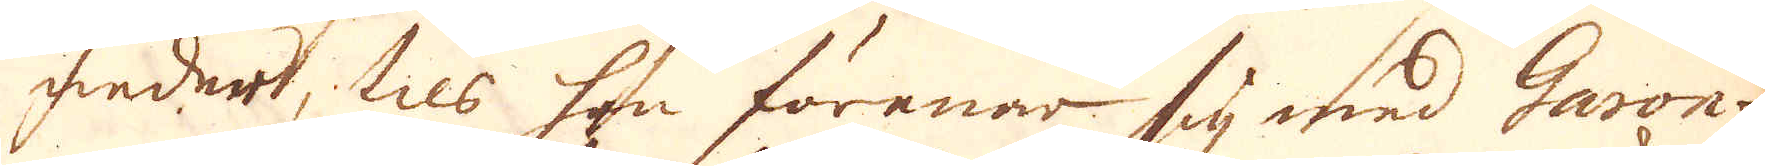under, tils hon förenar sig med Garon-
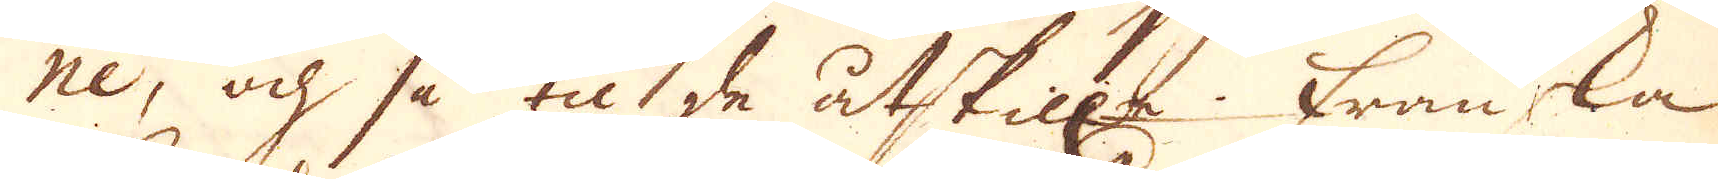ne, och så til de åtskill:a. Franska
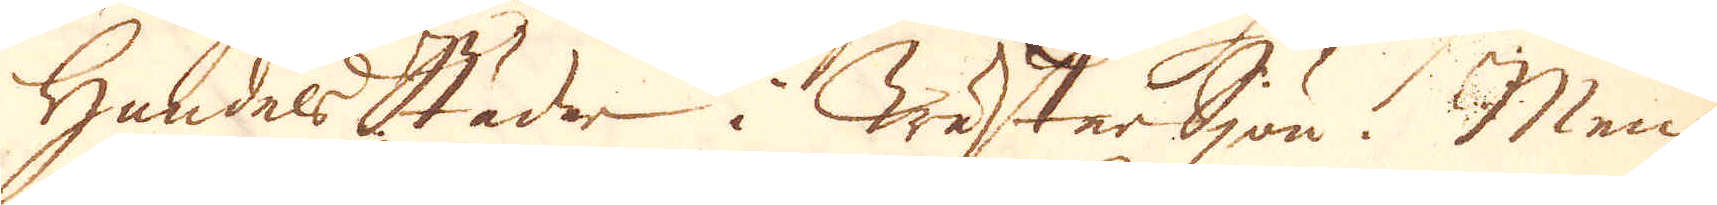Handelsstäder i WästerSjön. Men
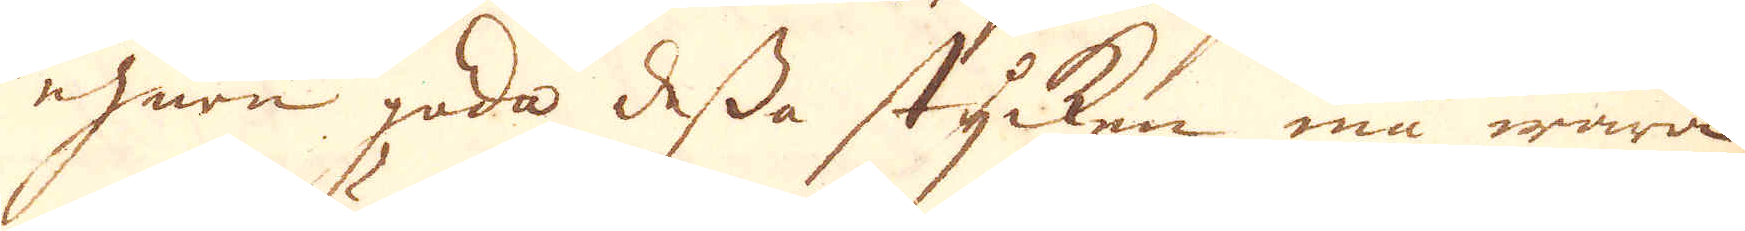ehuru goda dessa stycken må wara
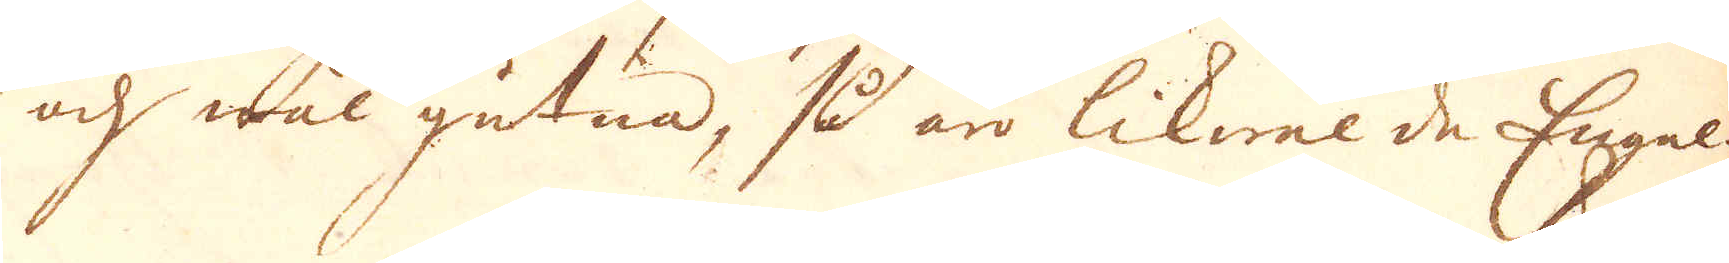och wäl gutna, så äro likwäl de Engel-
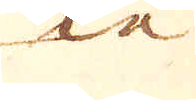ska
